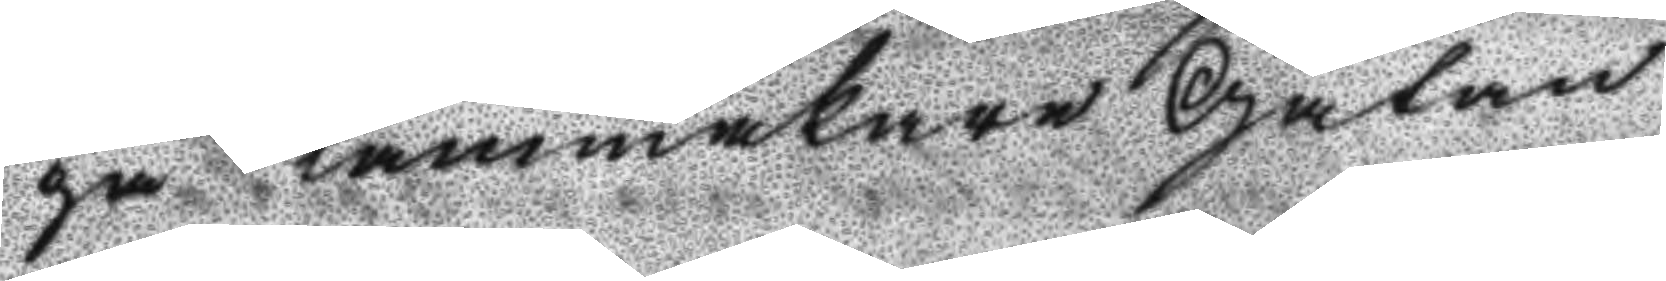på Kammakare Gatan.
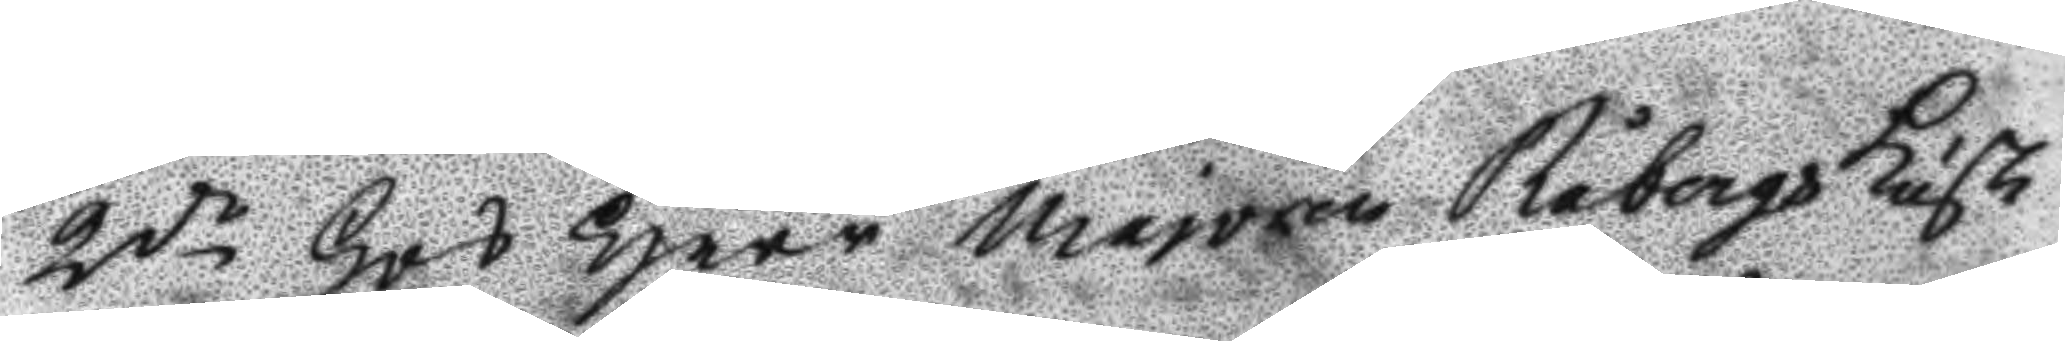2do Hos Herr Majoren Råbergs kusk
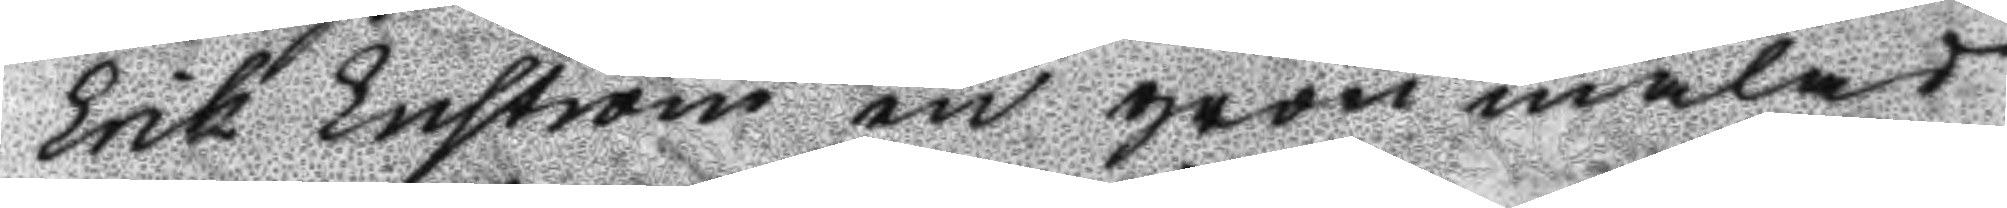Erik Enström en grön målat
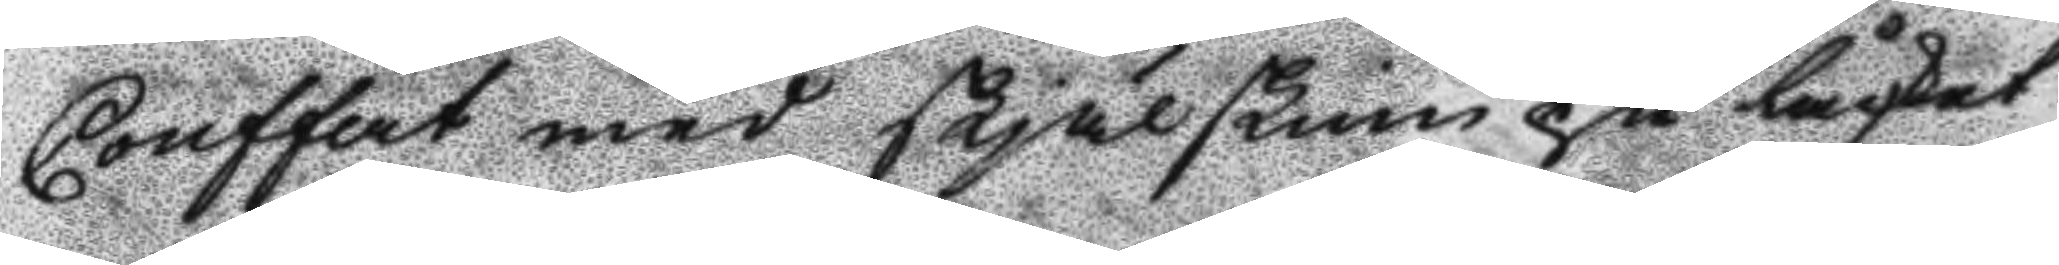Coffert med skjälskinn på låcket
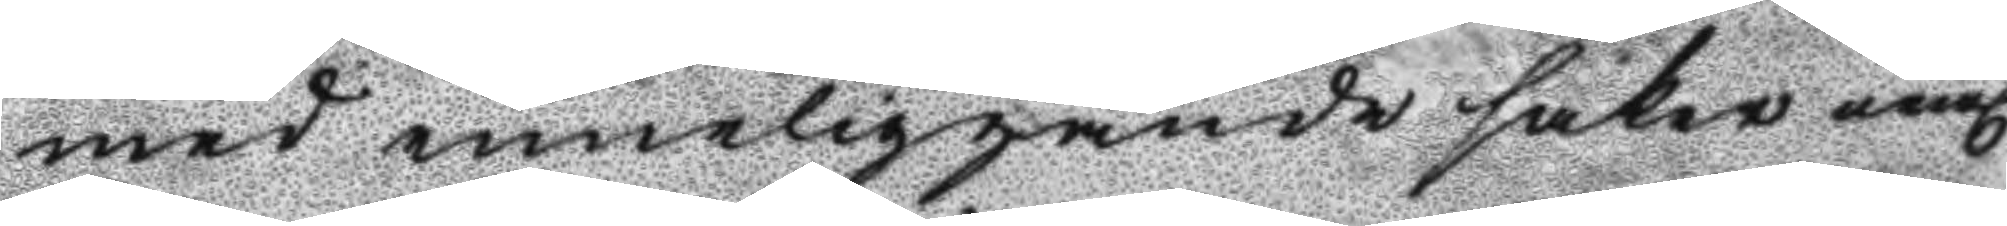med inneliggande saker neml.
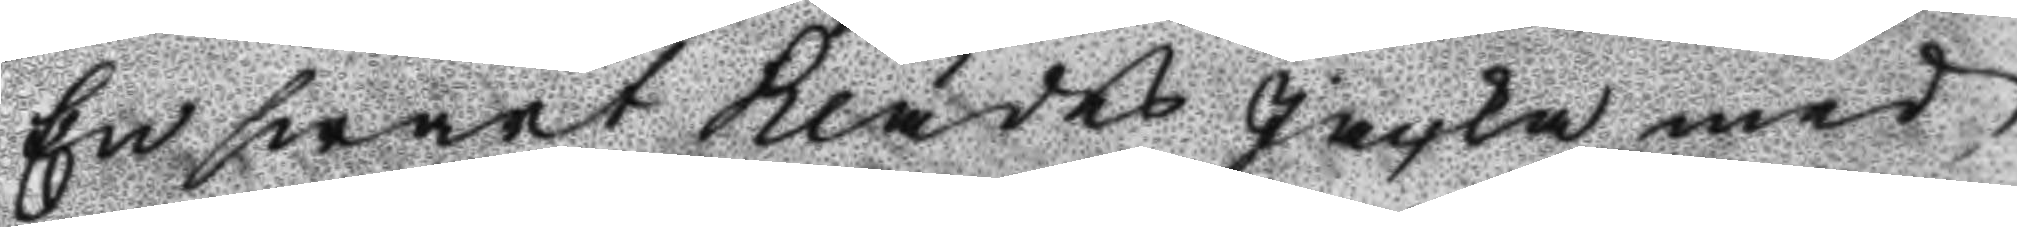En swart klädes jacka med
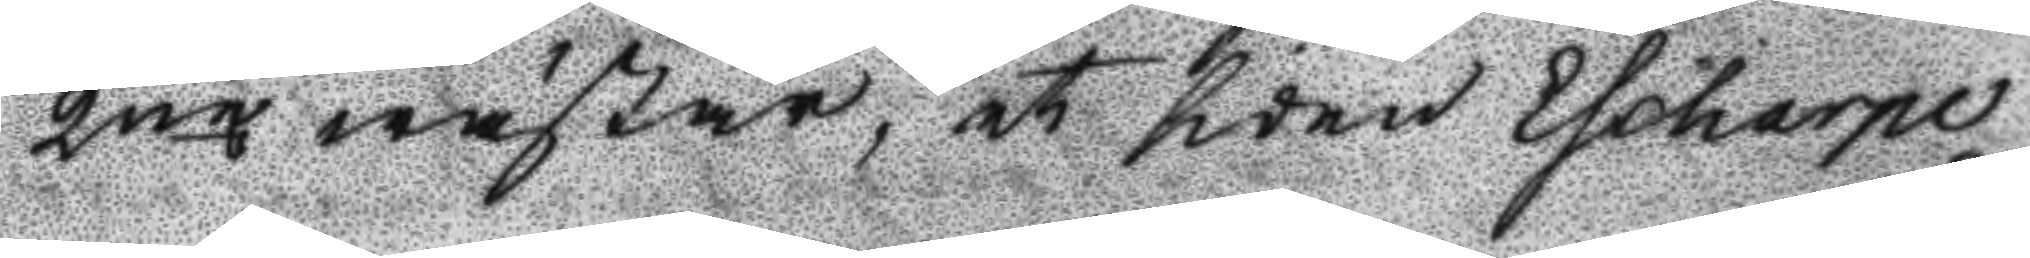2ne wästar, et siden Ehoharpe
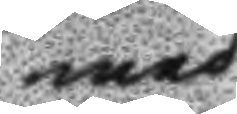med
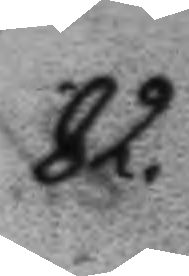82. 
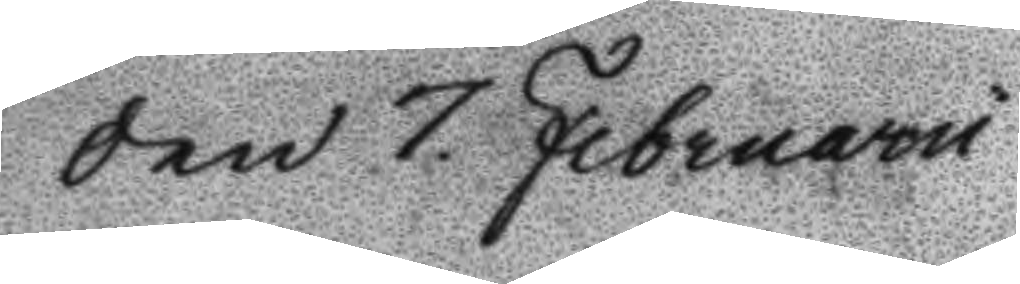Den 7 Februaru
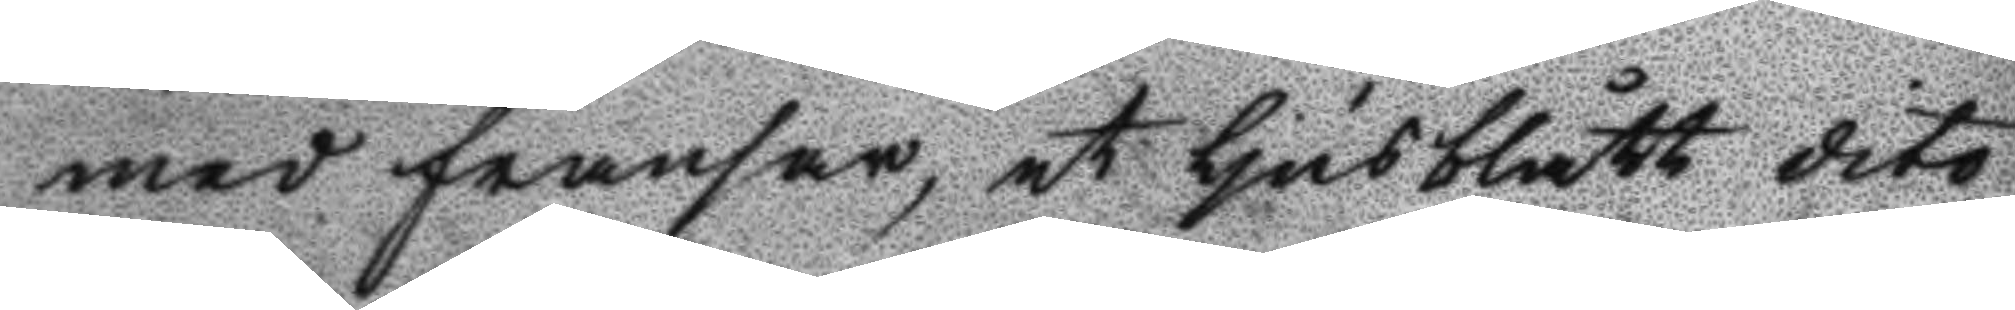med fransar, et ljusblått dito
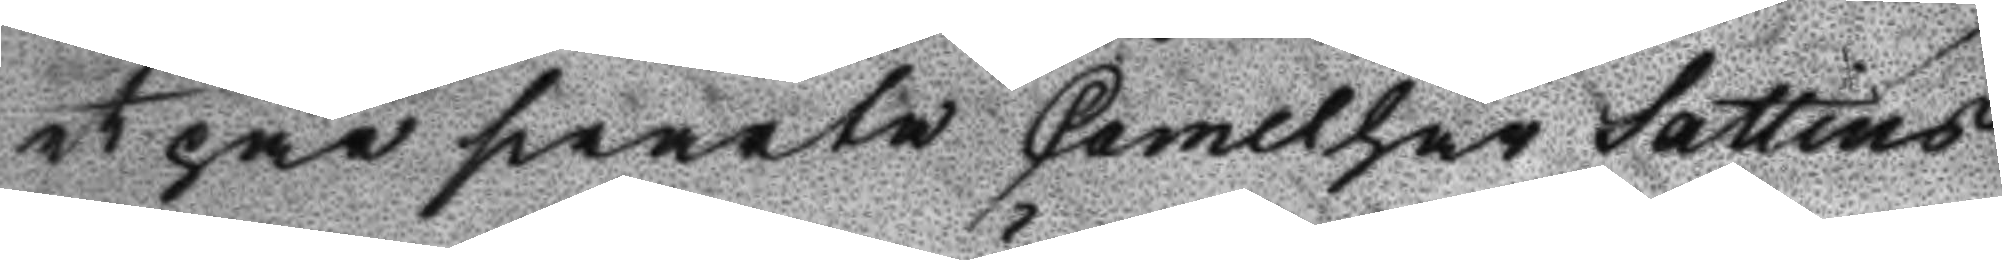et par swarta Camelhår Sattins
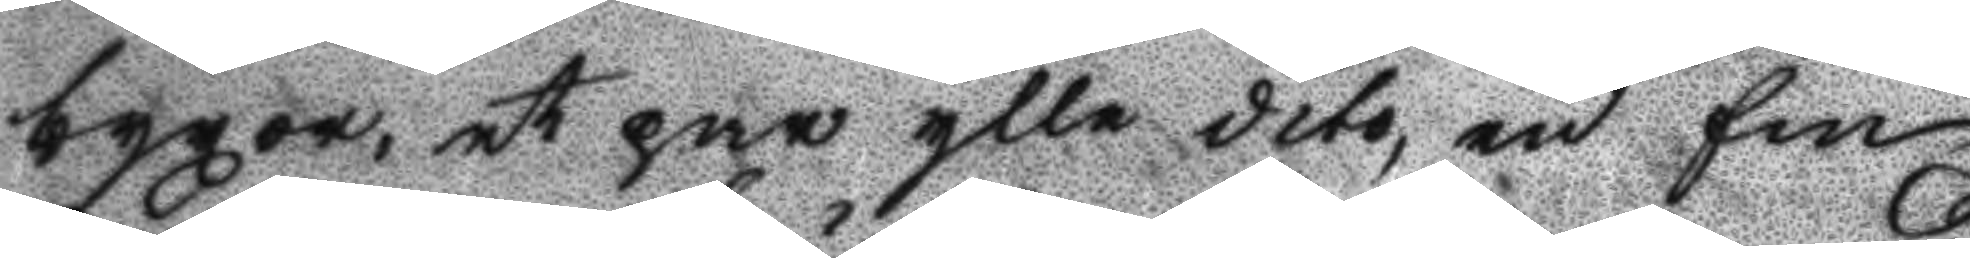byxor, et par ylle dito, en fin
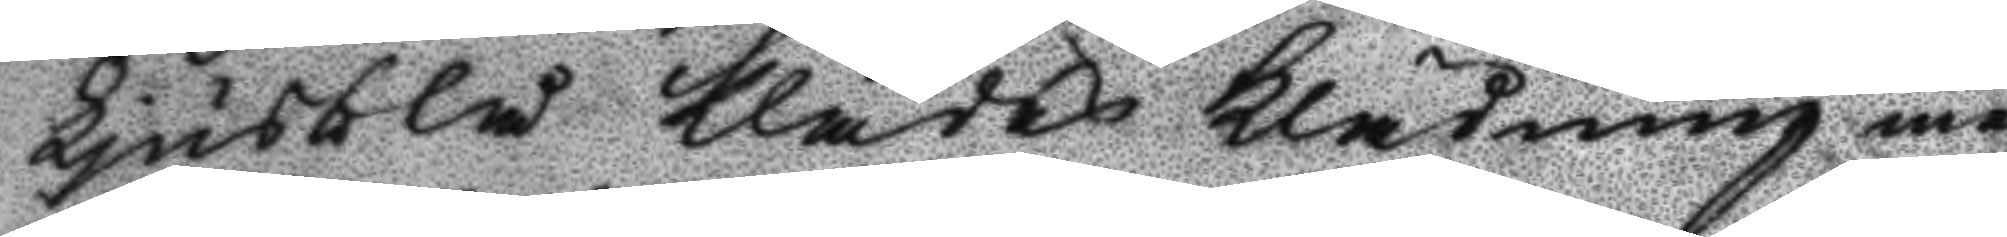Ljusblå Klädes Klädning med
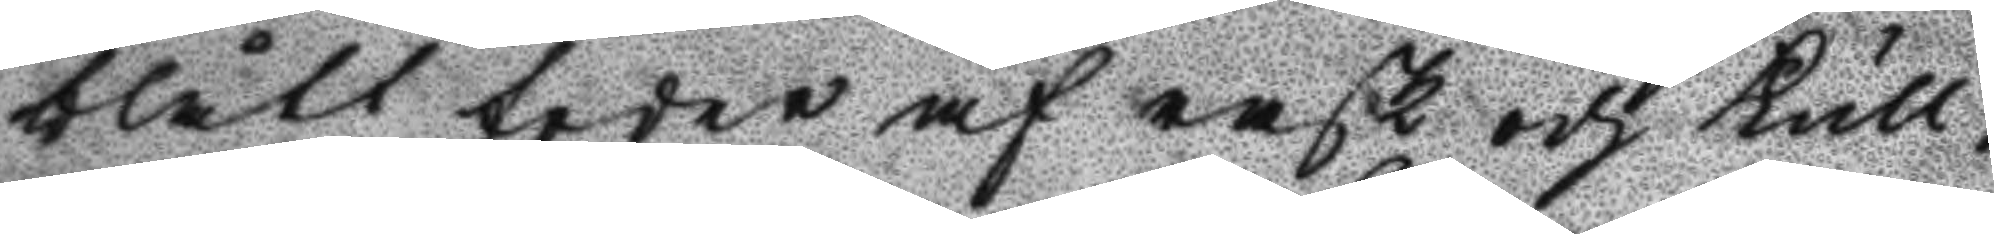blått foder af rask och Kull¬
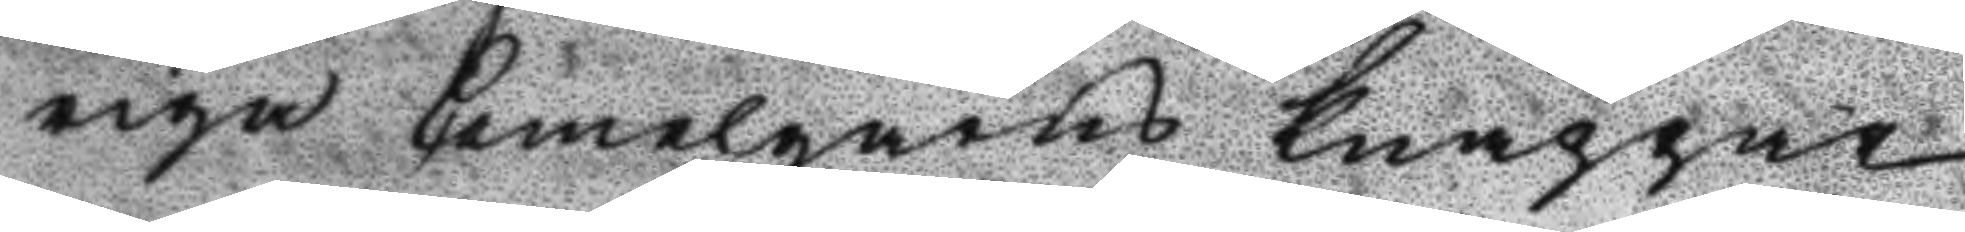riga Camelgarns Knappar,
